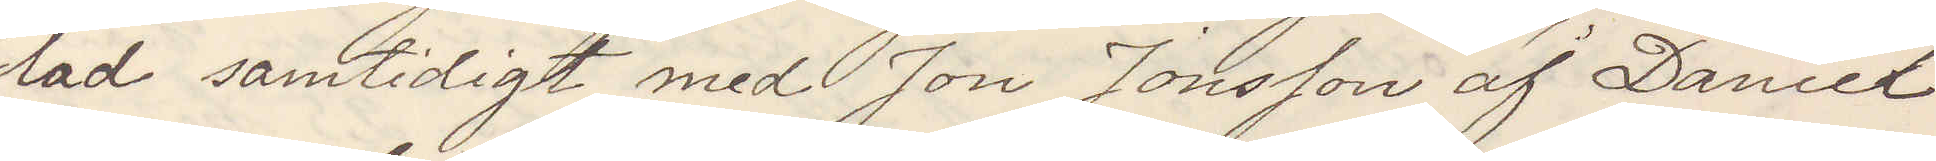lad samtidigt med Jon Jonsson af Daniel
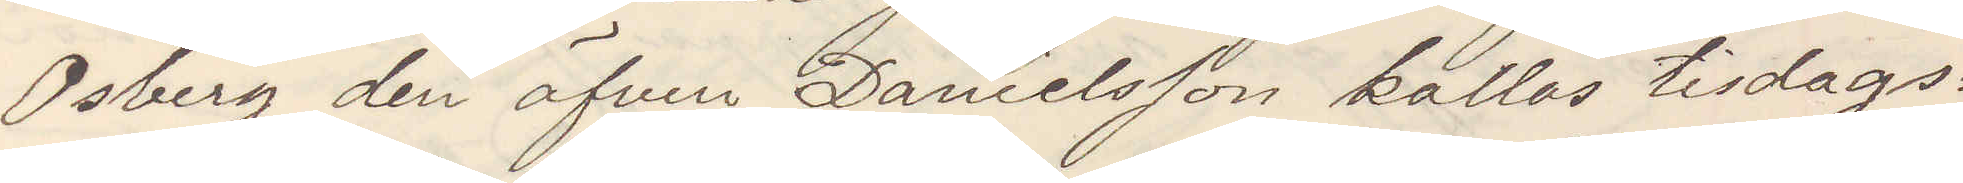Osberg den äfven Danielsson kallas tisdags¬
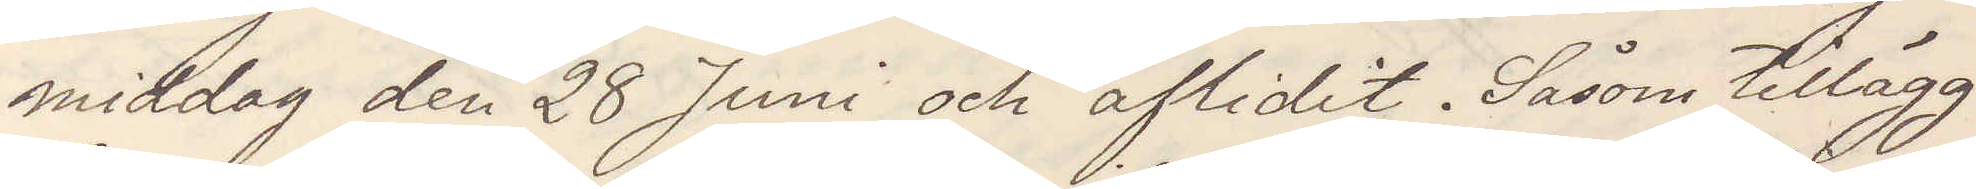middag den 28 Juni och aflidit. Såsom tillägg
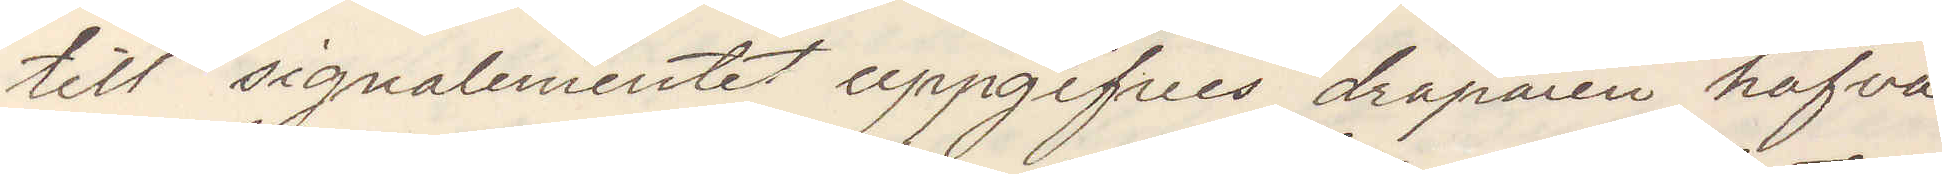till signalementet uppgifves dråparen hafva
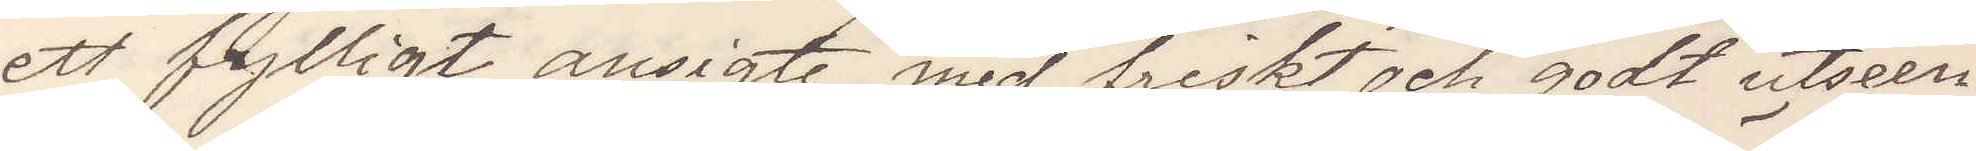ett fylligt ansigte med friskt och godt utseen¬
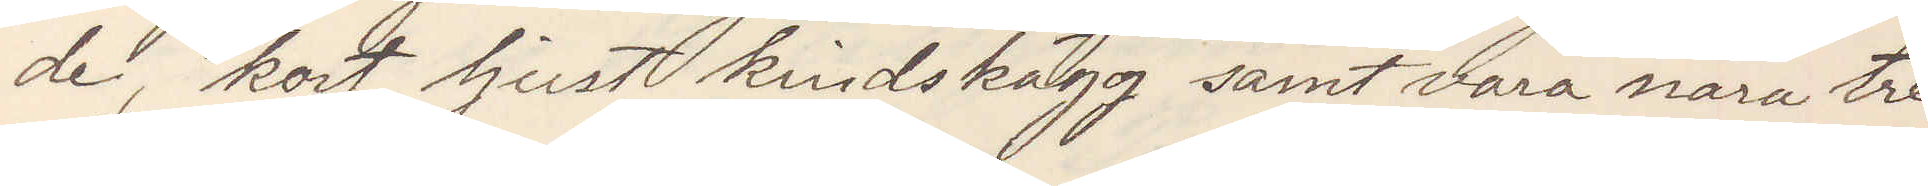de, kort ljust kindskägg samt vara nära tre
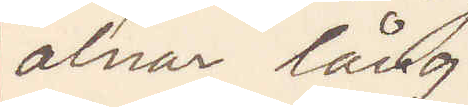alnar lång
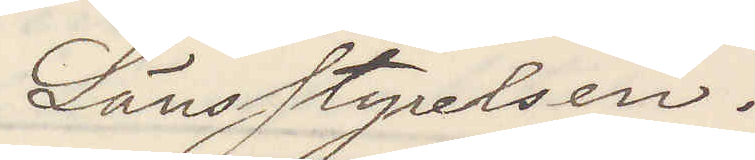Länsstyrelsen.
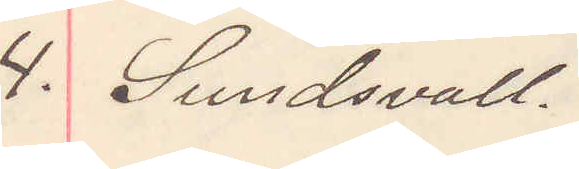4. Sundsvall.
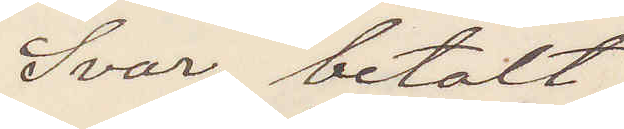Svar betalt
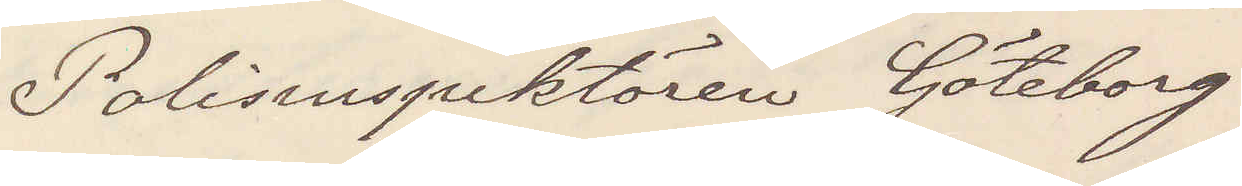Polisinspektören Göteborg
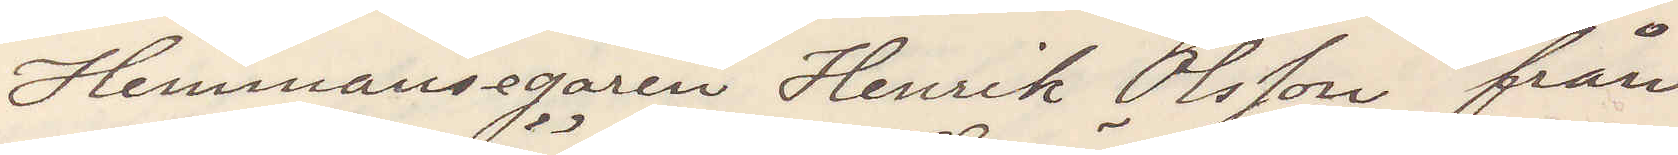Hemmansegaren Henrik Olsson från
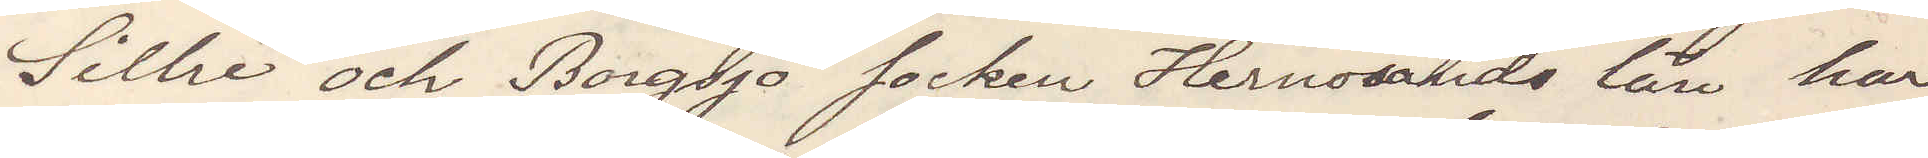Silhe och Borgsjö socken Hernösands län har
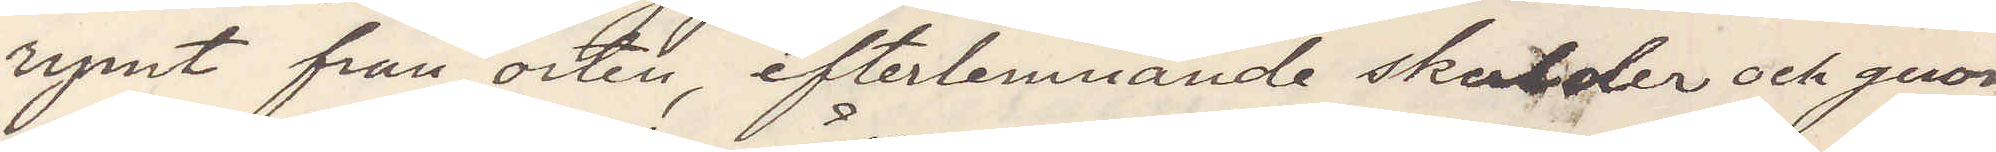rymt från orten efterlemnande skulder och genom
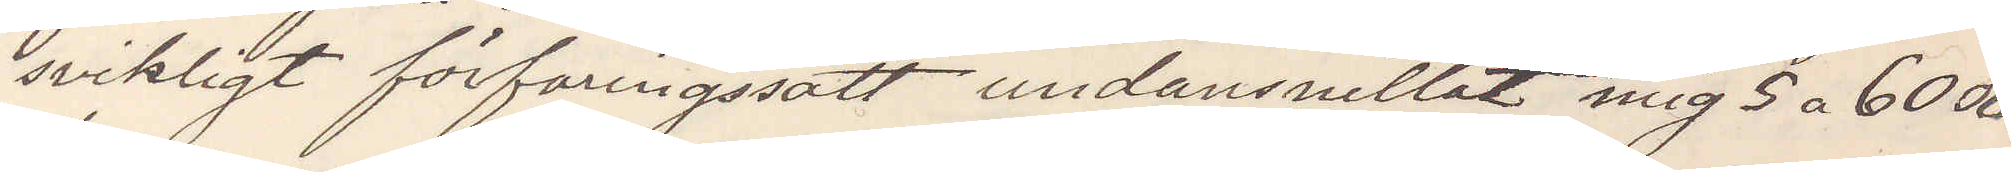svikligt förfaringssätt undansnillat mig 5 a 6000
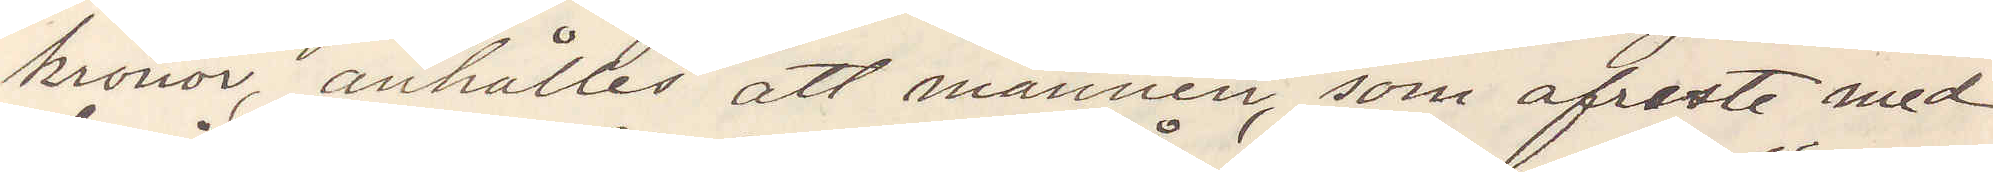kronor, anhålles att mannen, som afreste med
